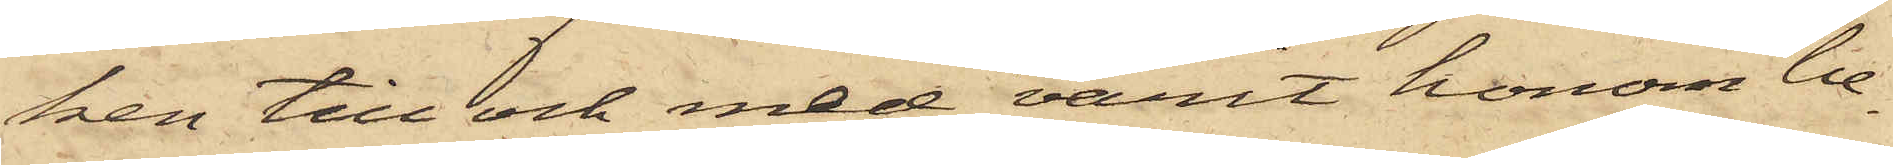ken till och med varit honom be¬
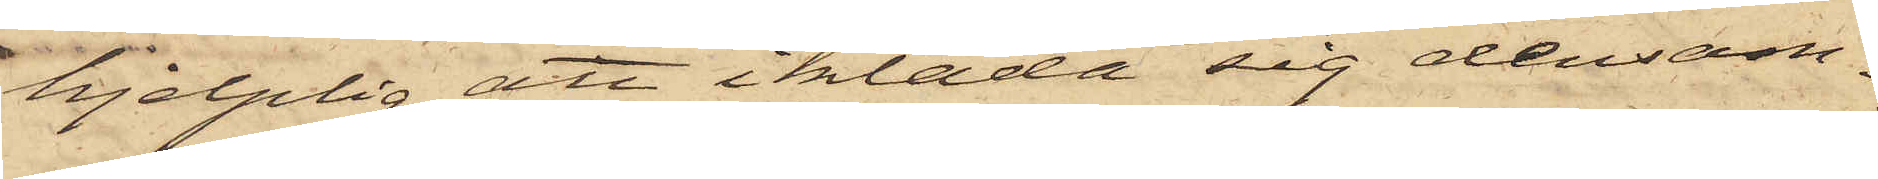hjelplig att ikläda sig densam¬
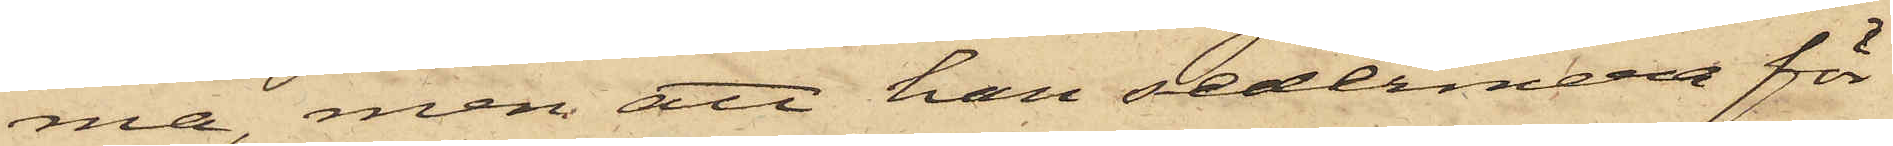ma, men att han sedermera för
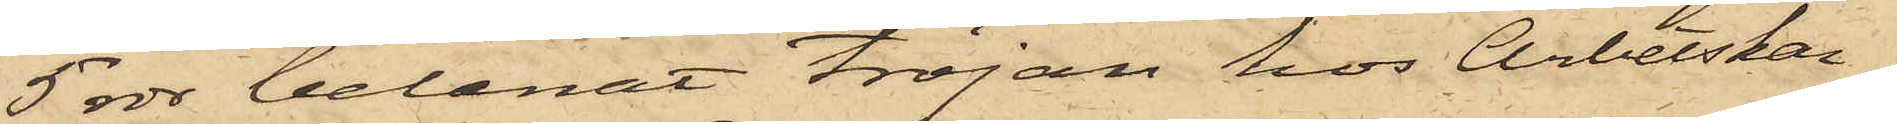5 rdr belånat tröjan hos Arbetskar¬
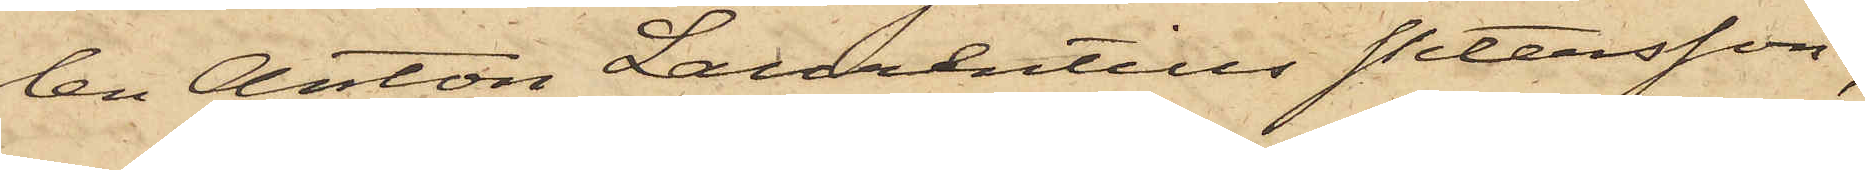len Anton Laurentius Petersson;
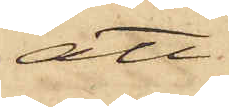att
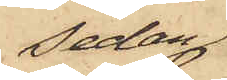sedan
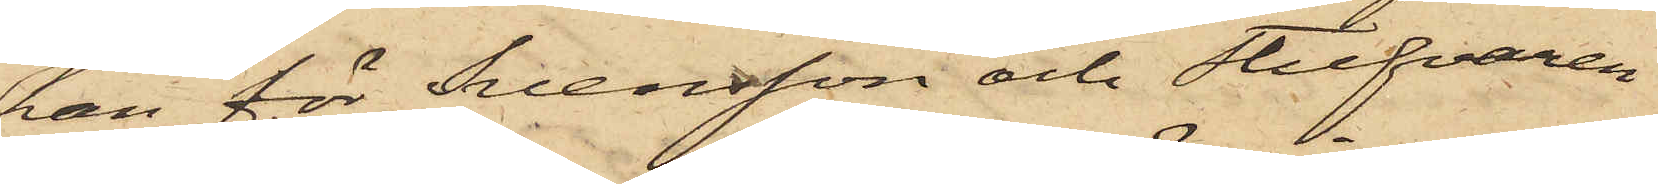han för Svensson och Stufvaren
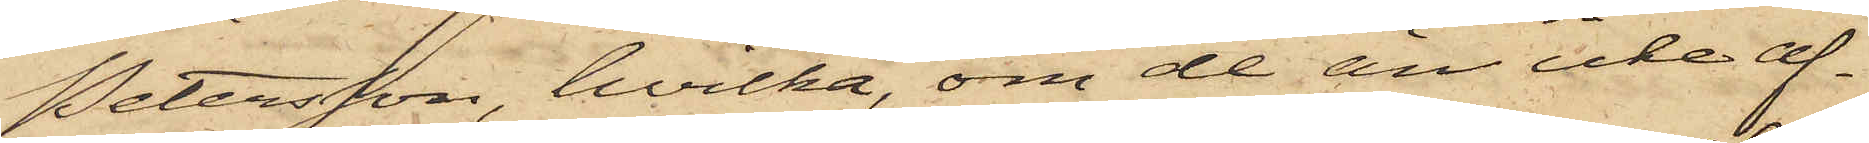Petersson, hvilka, om de än icke af¬
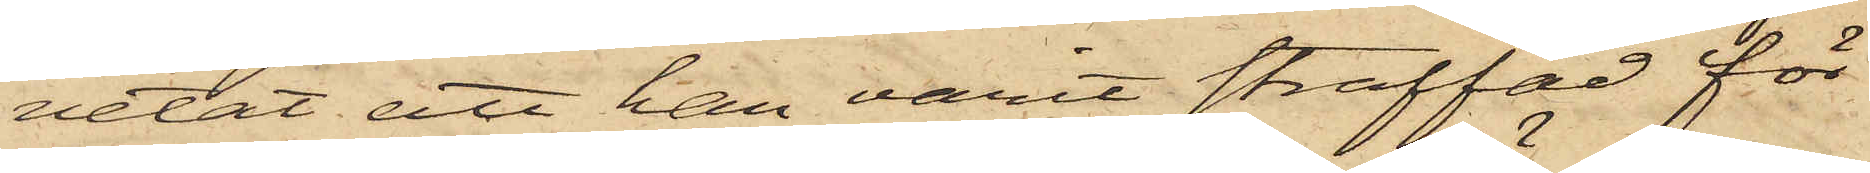vetat att han varit straffad för
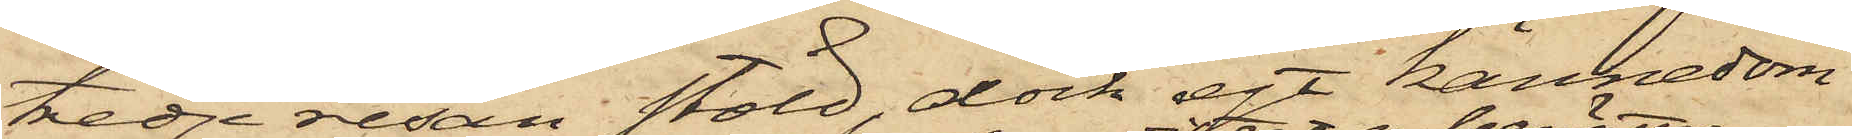tredje resan stöld, dock egt kännedom
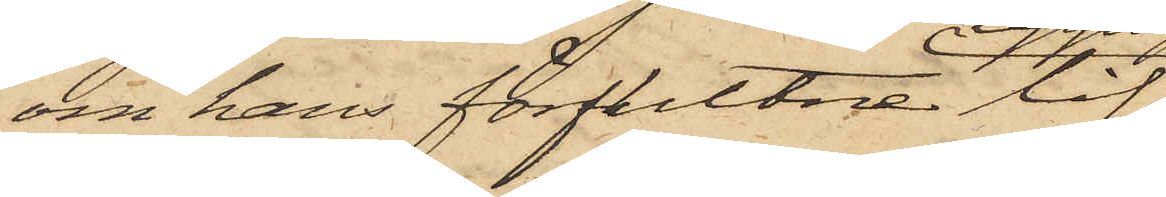om hans förflutna lif,
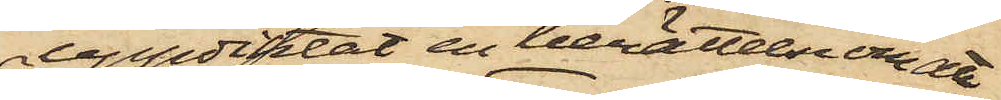uppdiktat en berättelse om att
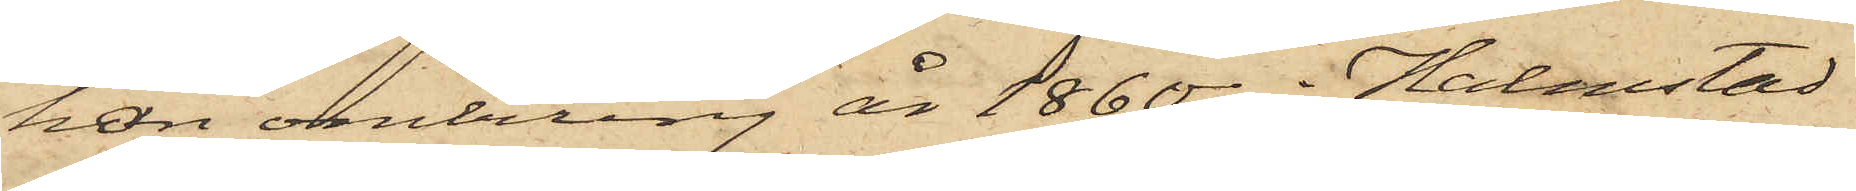han omkring år 1860 i Halmstad
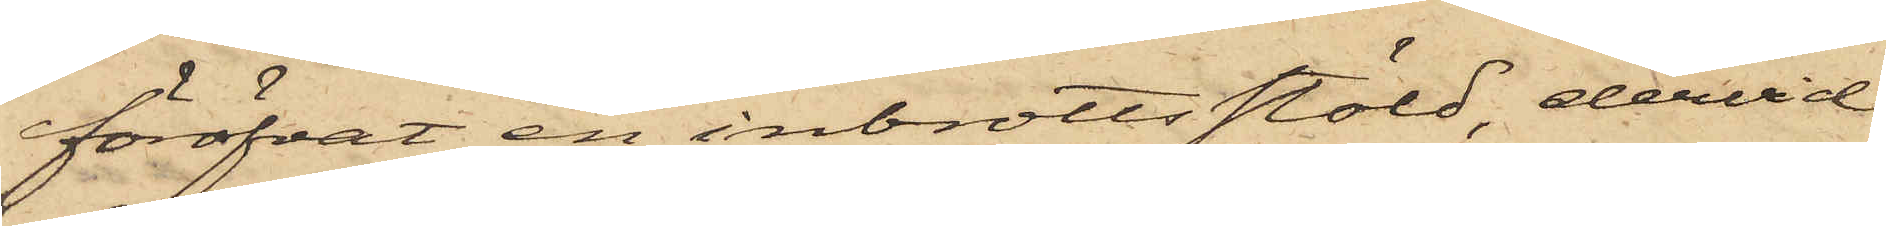föröfvat en inbrottsstöld, dervid
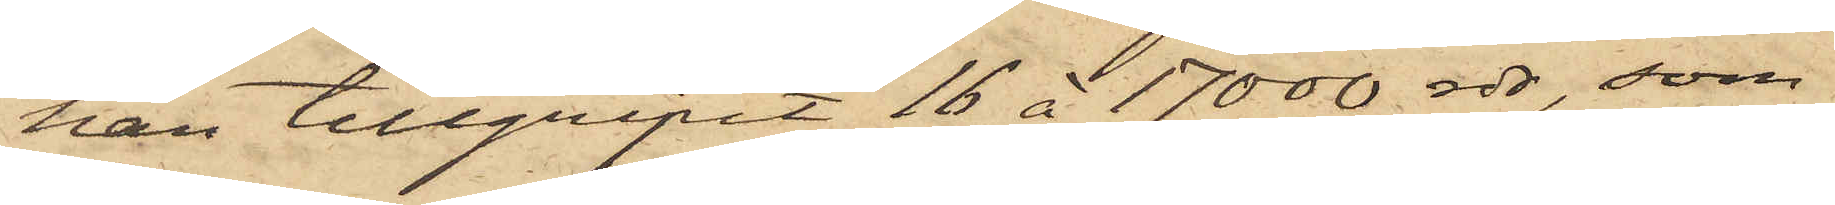han tillgripit 16 à 17000 rdr, som
